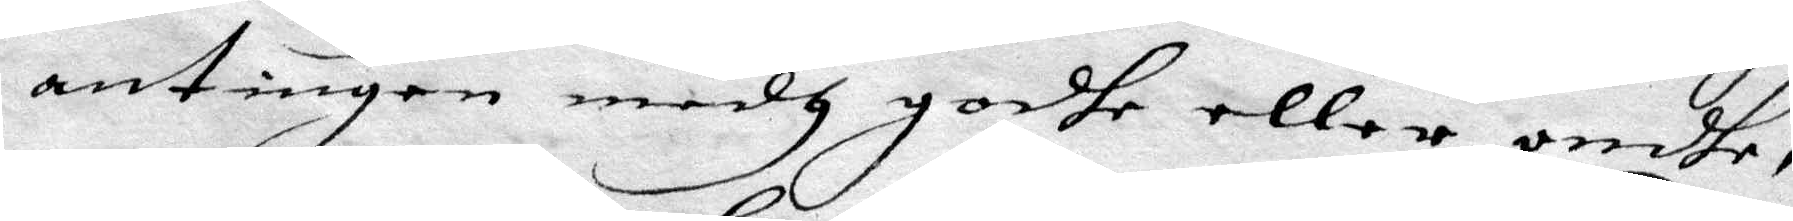antinegen medh godhe eller ondhe,
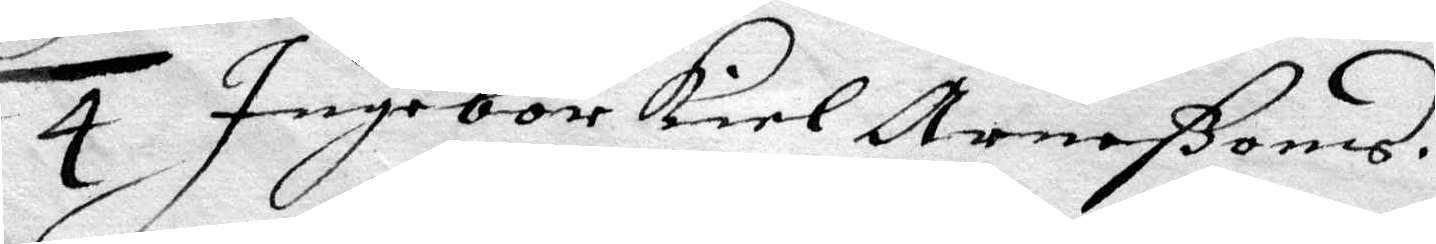4 Ingebor Kiel Arneßons.
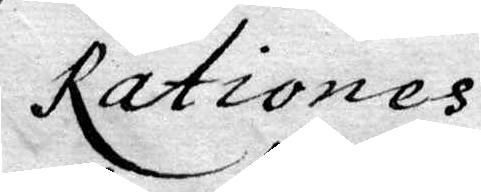Rationes
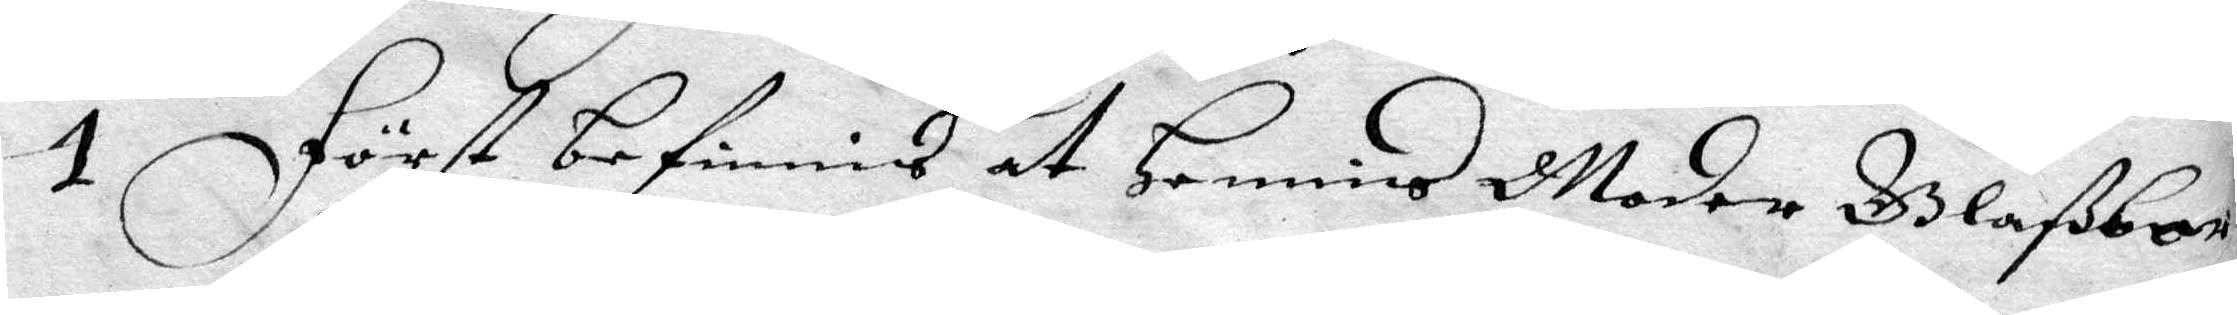1 Först befinnes at Hennis Moder Glaßboran
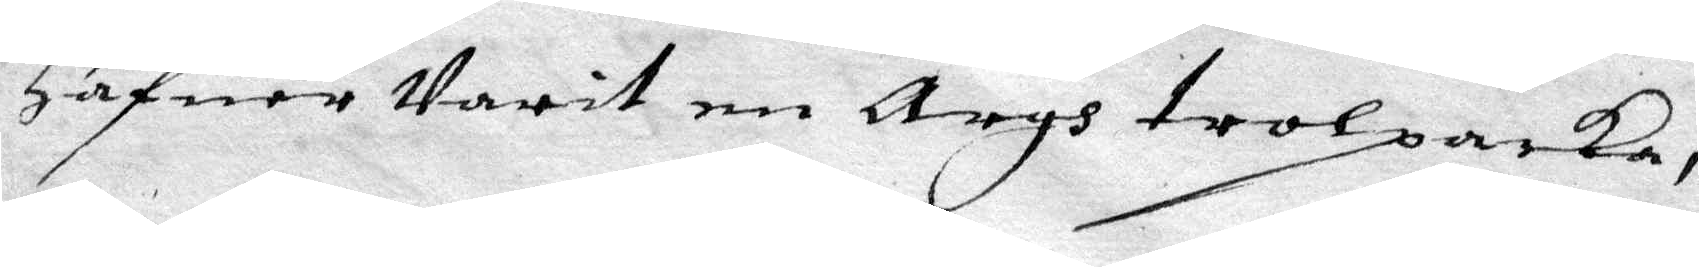Hafuer Varit en Argh trolpacka,
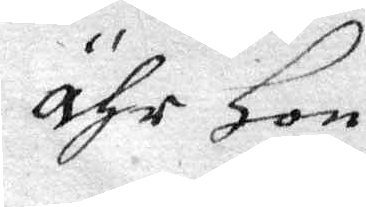Ähr Hon
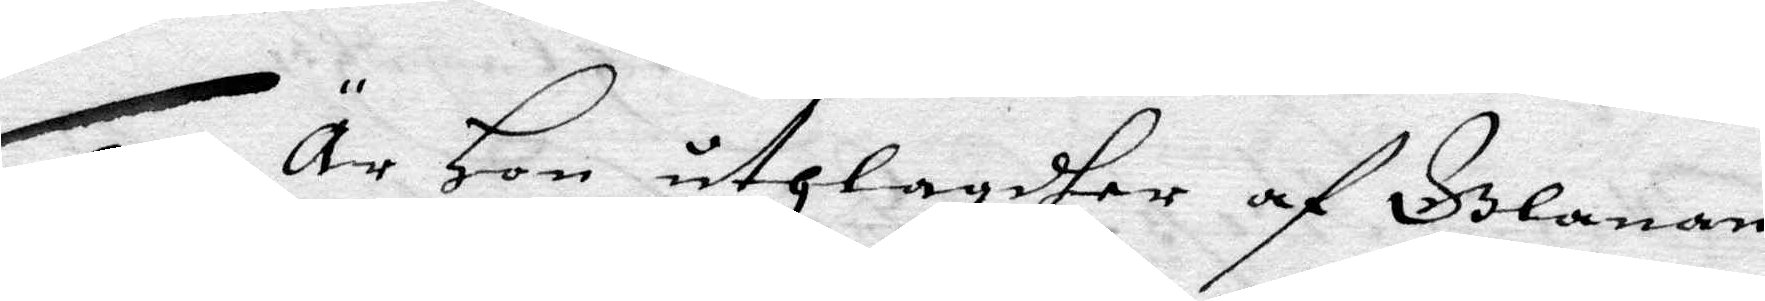2 Är Hon uthlagdher af Glanan
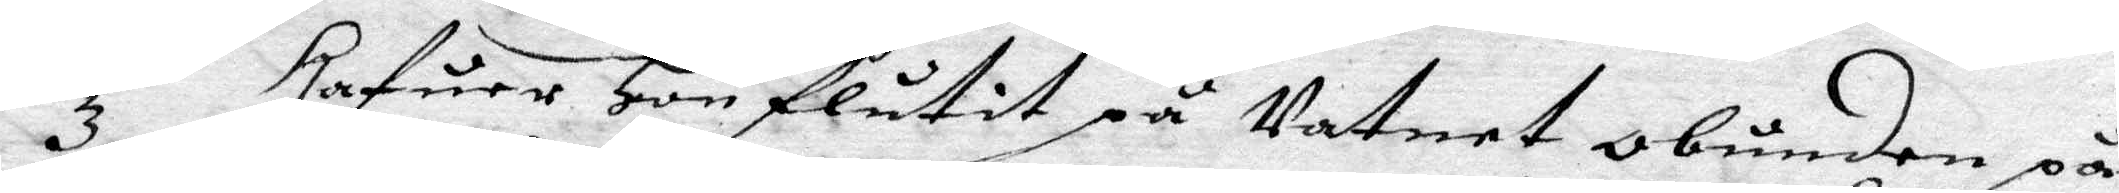3 Hafuer Hon flutit på vatnet obunden på
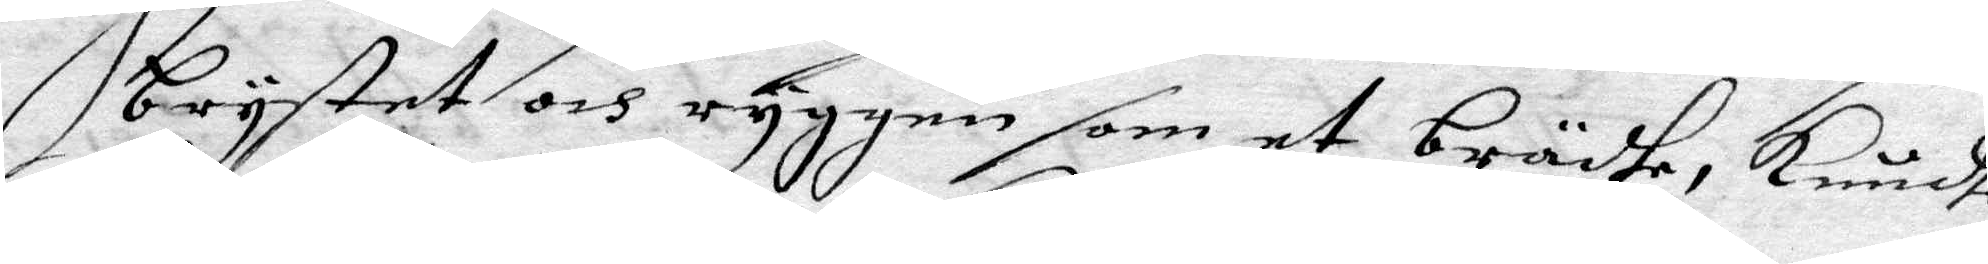brystet och ryggen som et brädhe, kundhe
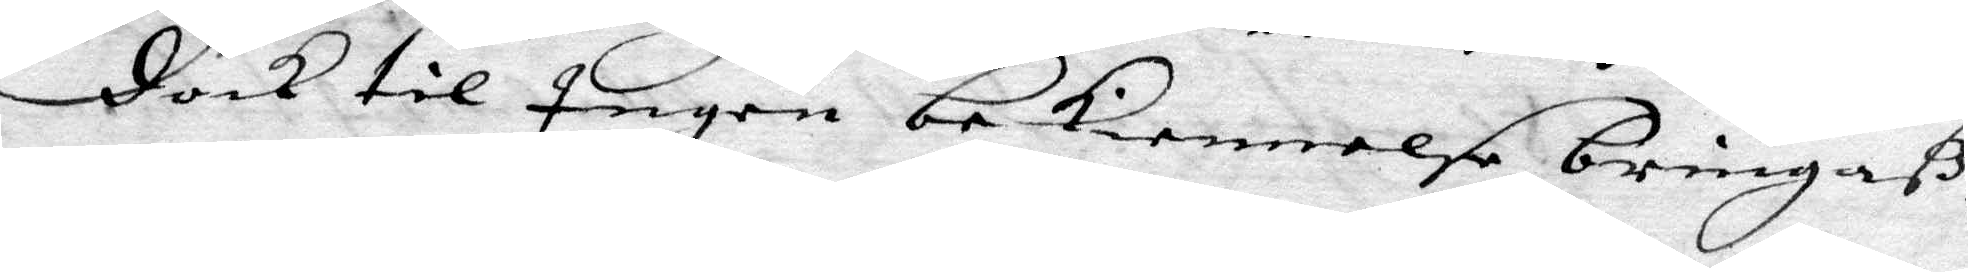doch till Ingen bekiennelse nringaß,
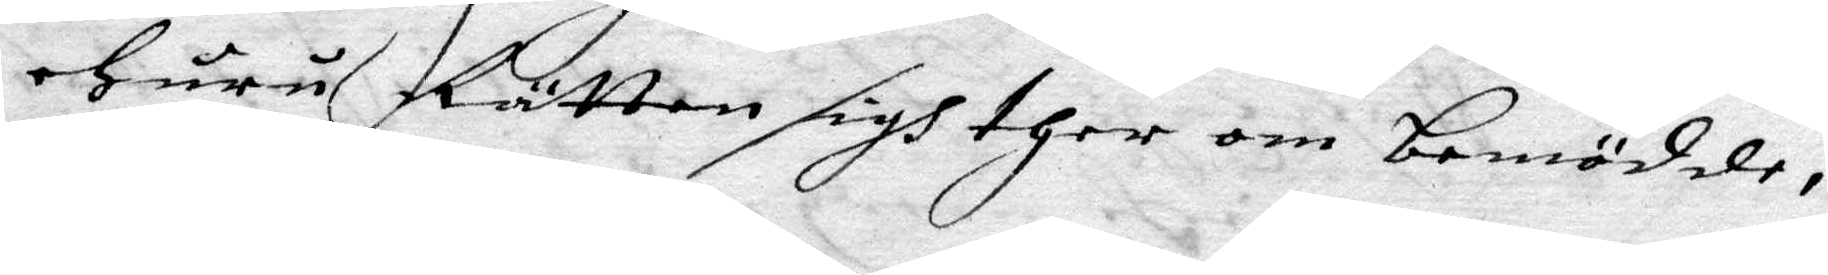ehuru Rätten sigh ther om bemödde,
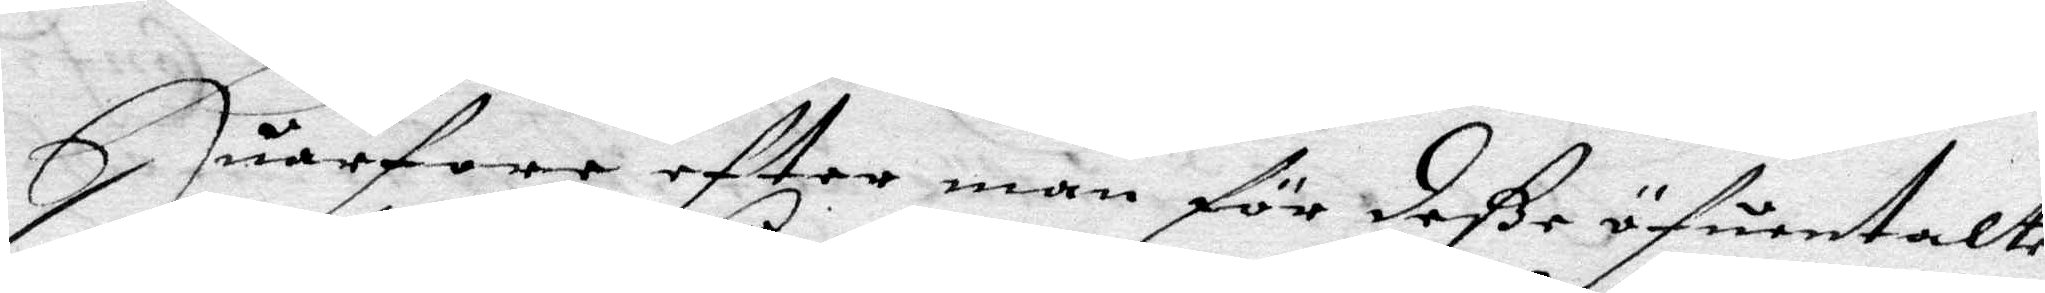Huarfore efter man för deße öfuertalte
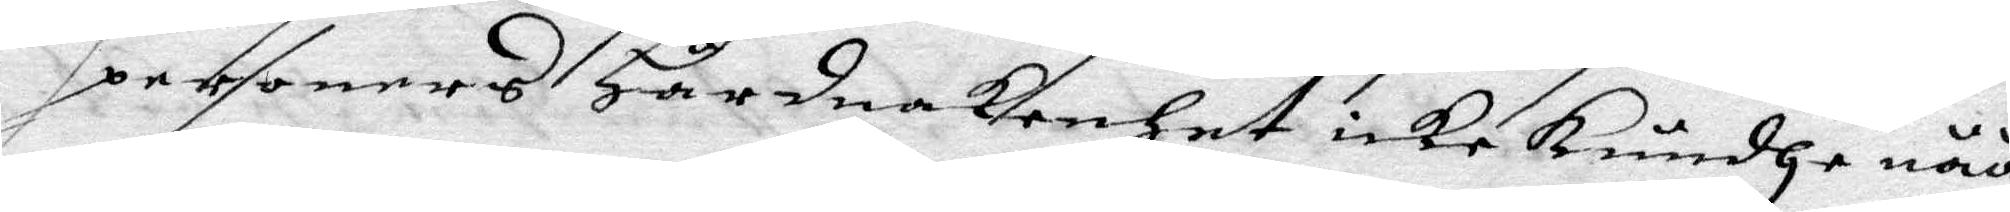personers Hårdnakenhet icke kundhe nåå
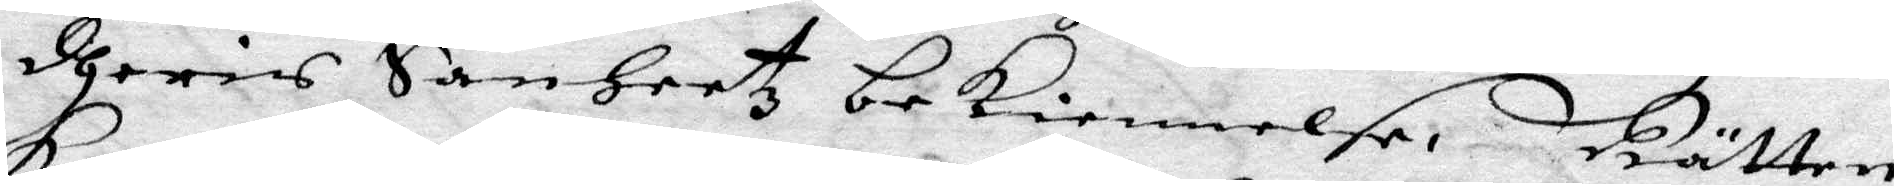dheris Sanheetz bekiennelse, rätten
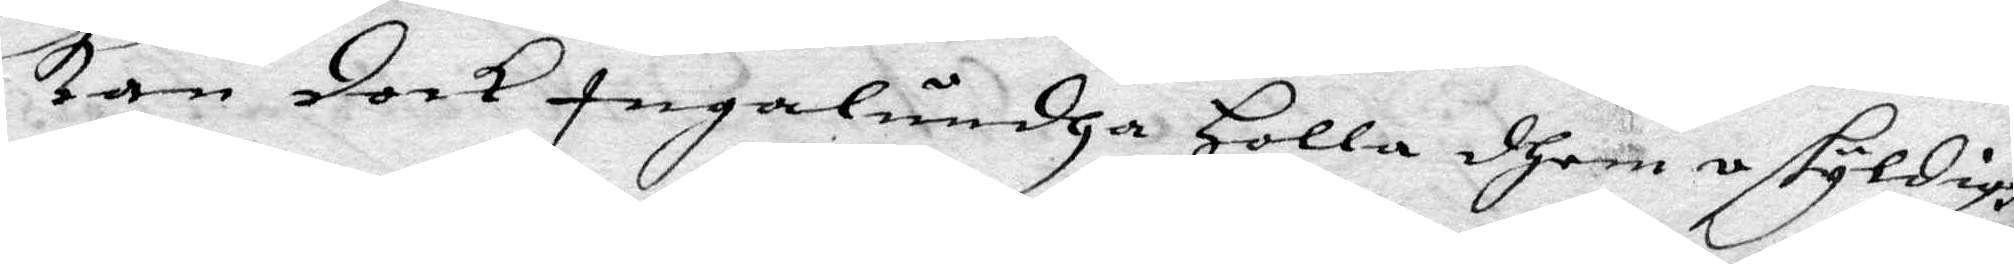kan dock ingalundha Holla dhem oskyldigh
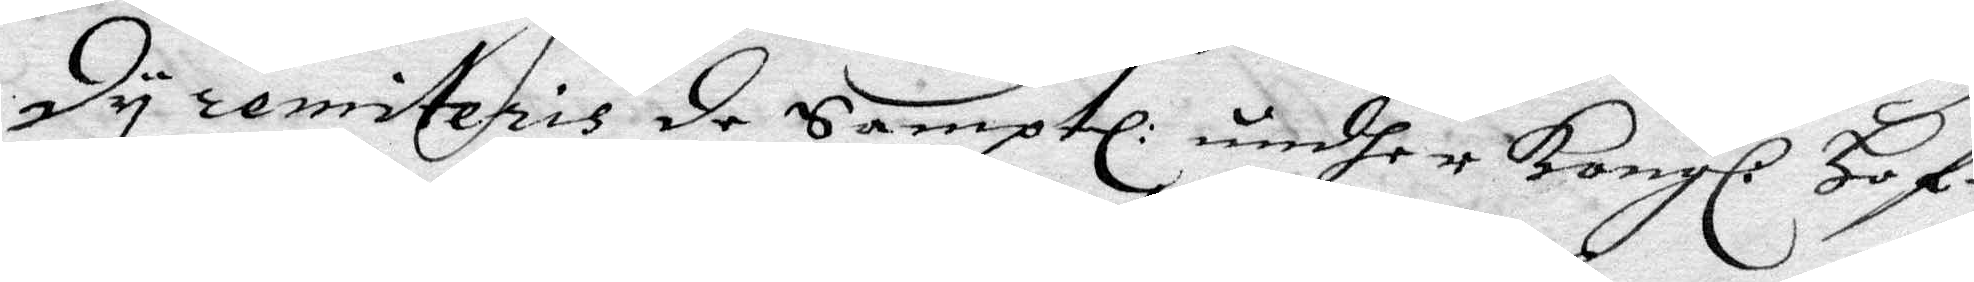Dy remiteris de Samptl: undher Kongl: Hof¬
